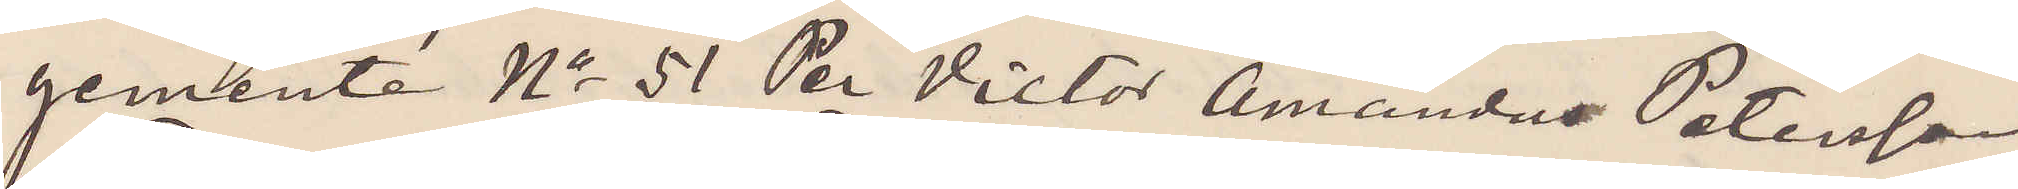gemente No 51 Per Victor Amandus Petersson,
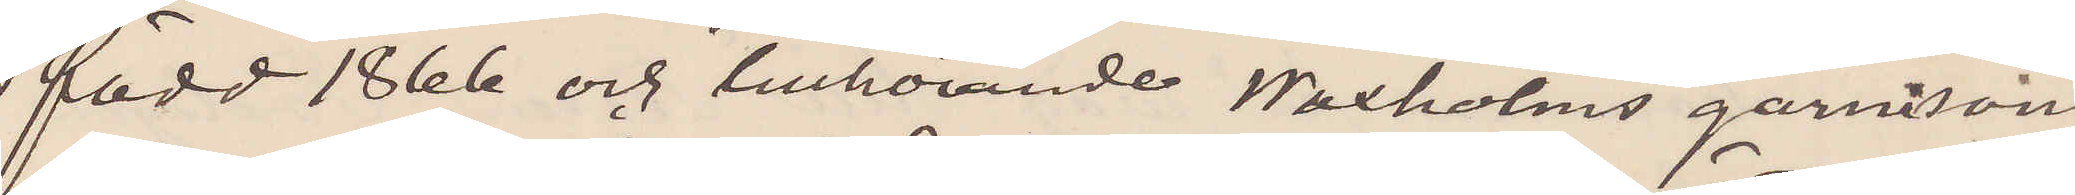född 1866 och tillhörande Waxholms garnisons
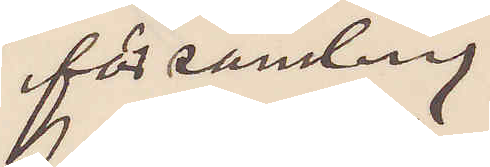församling,
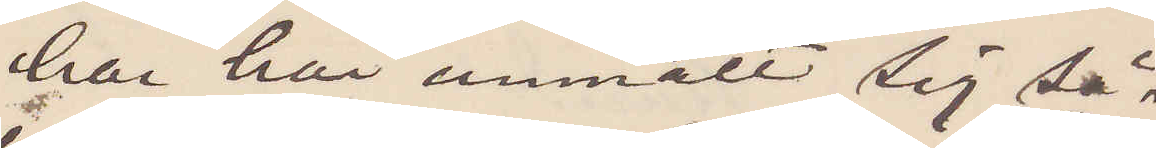har här anmält sig så¬
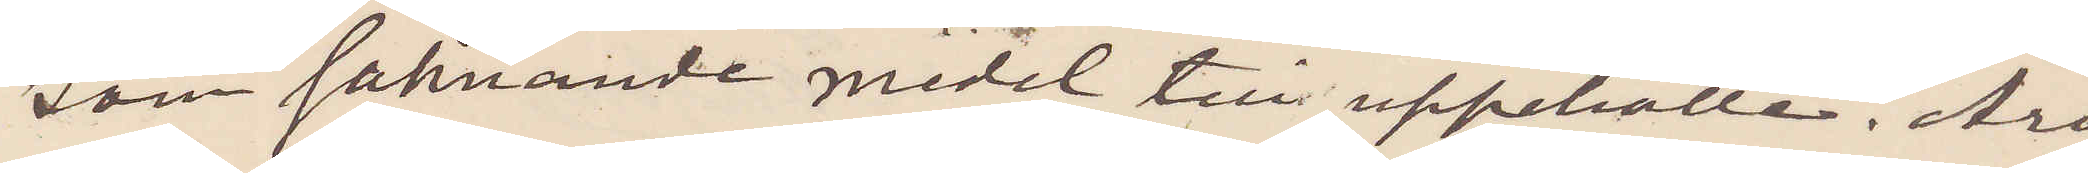som saknande medel til uppehälle. Års¬
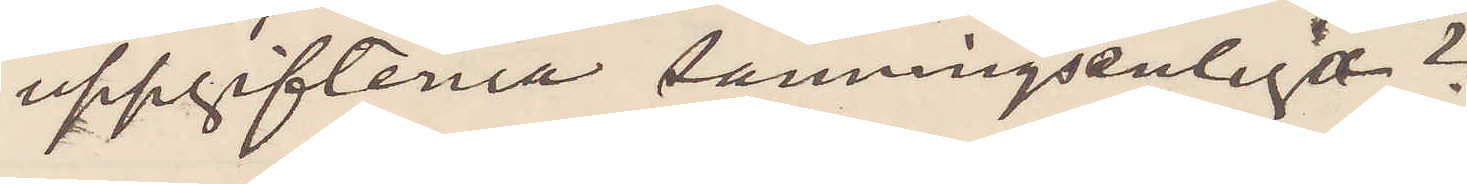uppgifterna sanningsenliga?
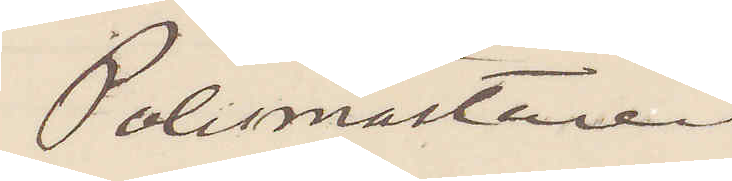Polismästaren
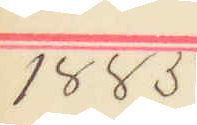1885
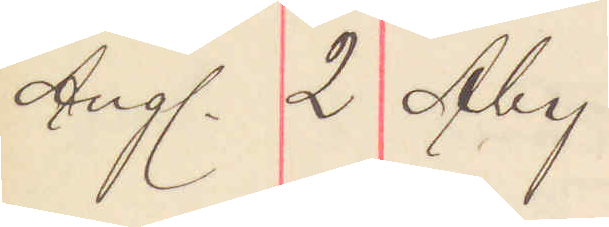Aug. 2 Åby
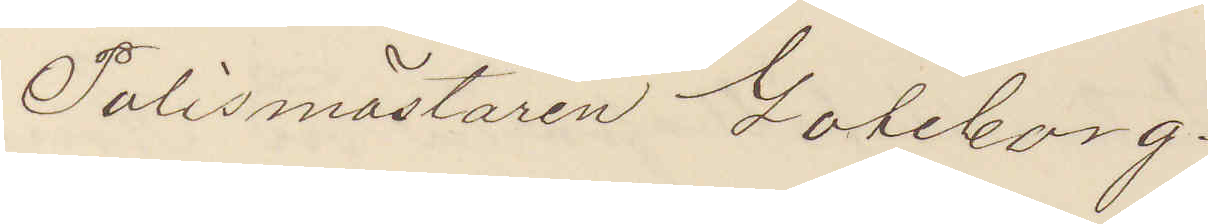Polismästaren Göteborg.
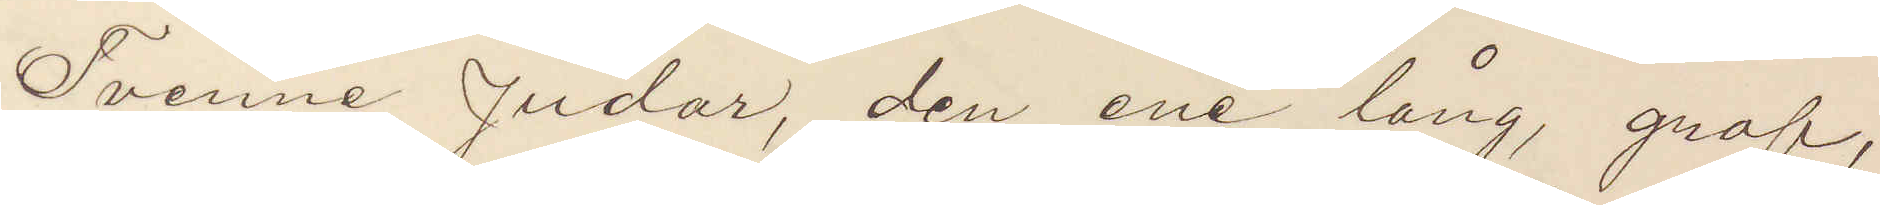Tvenne Judar, den ene lång, grof,
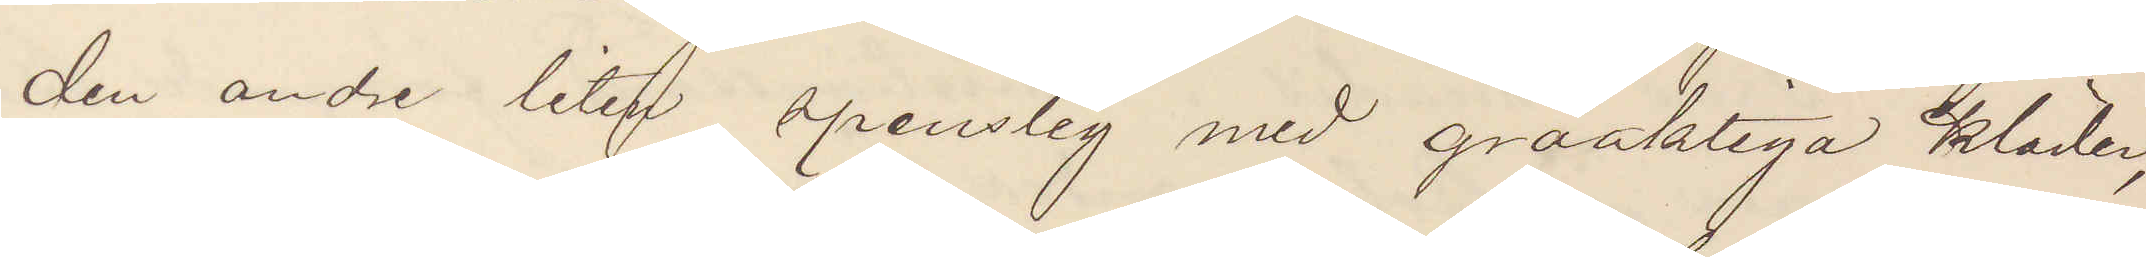den andre liten spenslig med gråaktiga kläder,
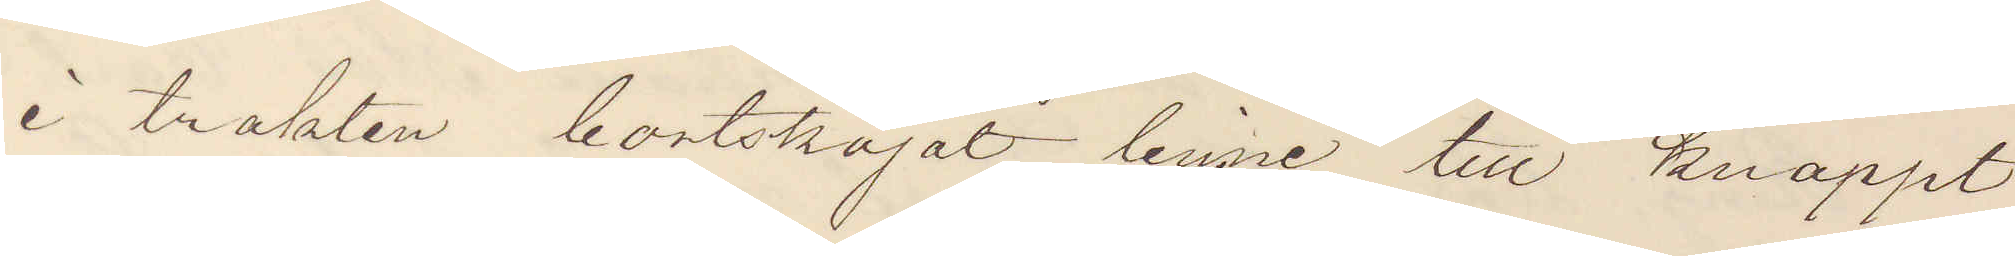i trakten bortskojat linne till knappt
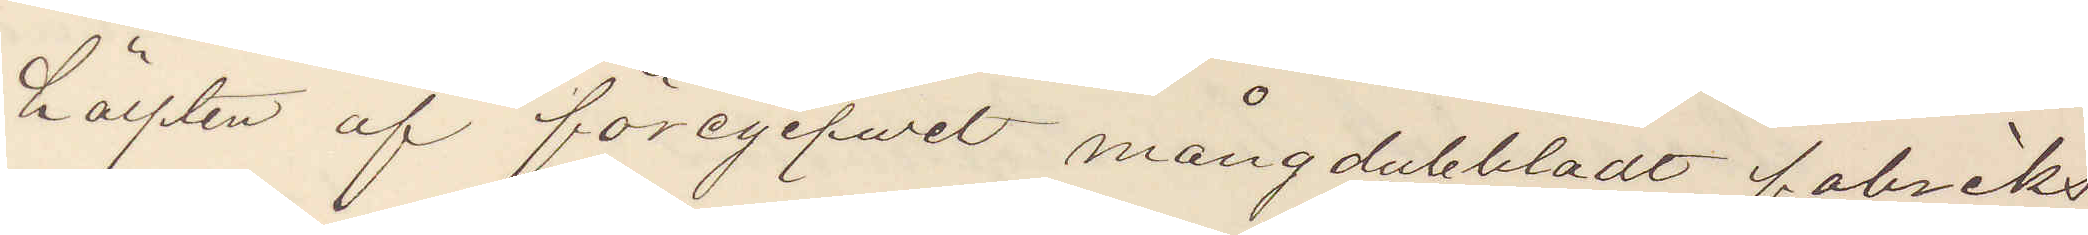hälften af föregifvit mångdubbladt fabriks¬
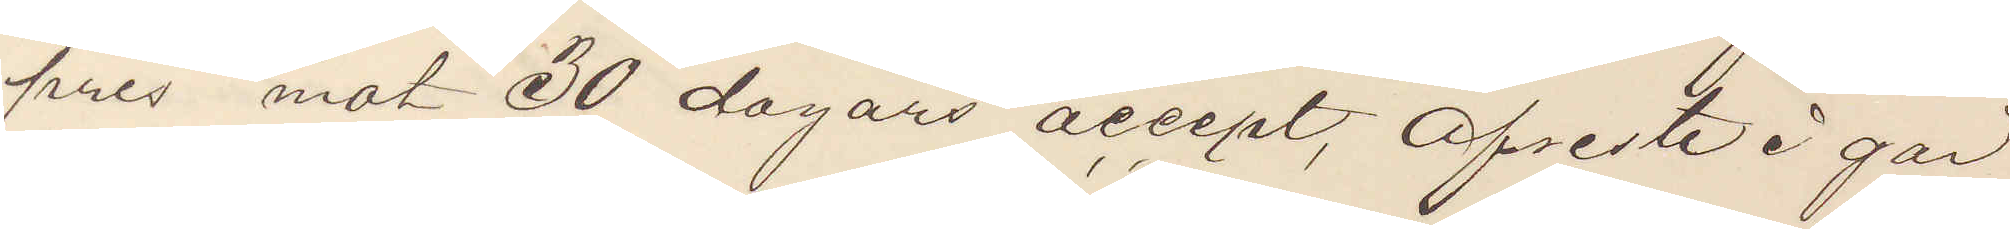pris mot 30 dagars accept, Afreste i går
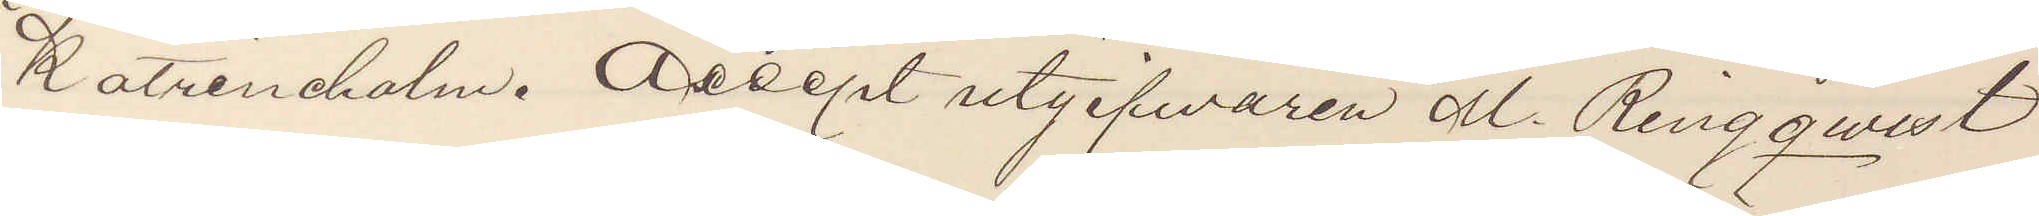Katrineholm. Acceptutgifvaren M Ringqwist
